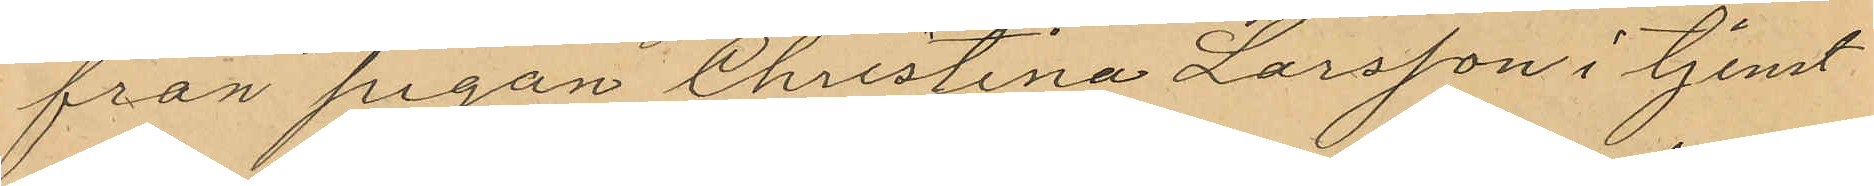från pigan Christina Larsson i tjenst
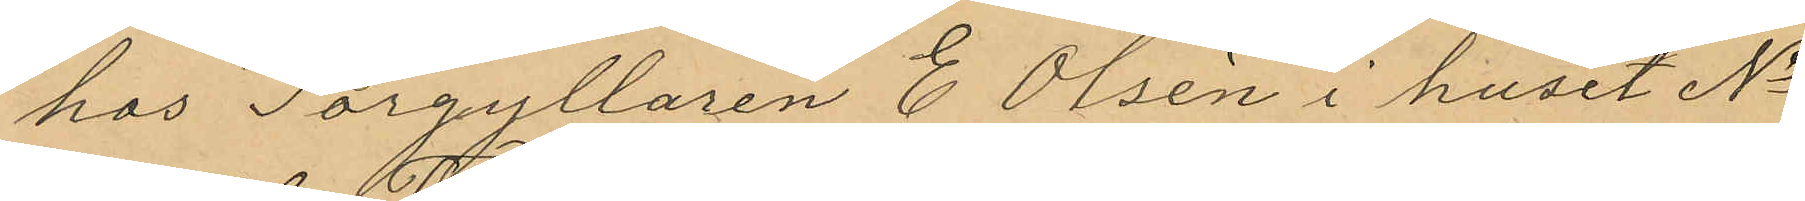hos Forgyllaren E. Olsén i huset No
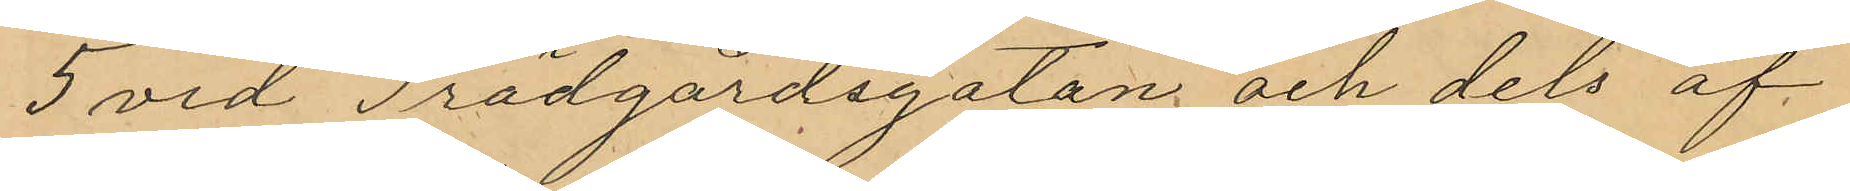5 vid Trädgårdsgatan och dels af
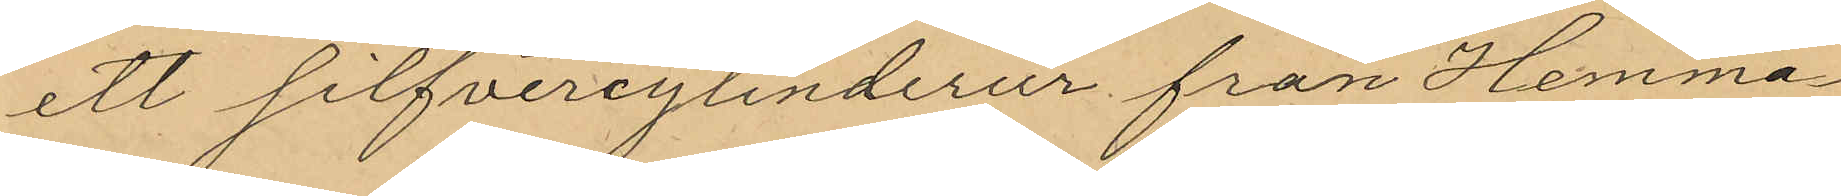ett silfvercylinderur från Hemma¬
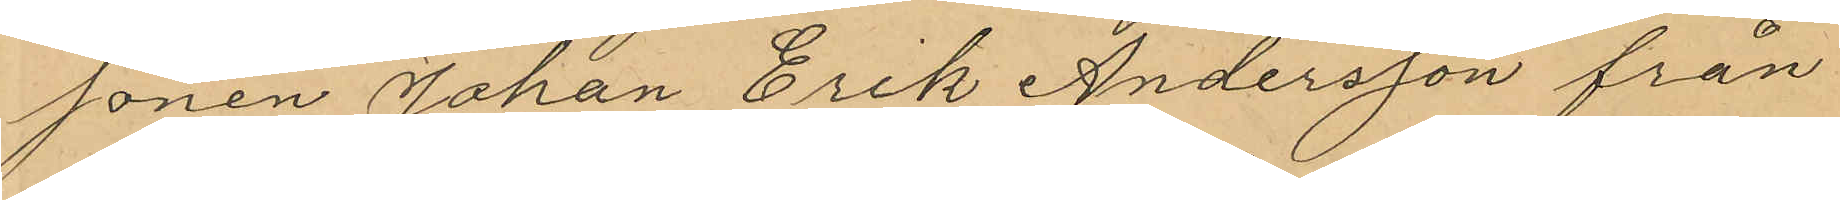sonen Johan Erik Andersson från
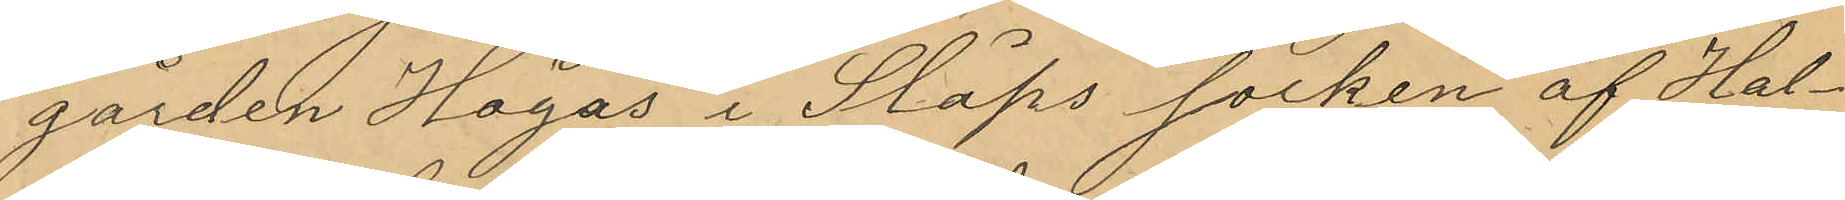gården Högås i Släps socken af Hal¬
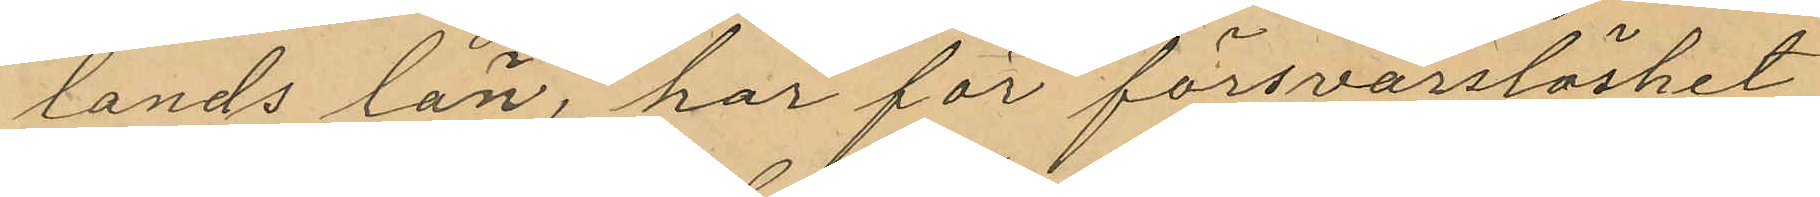lands län, har för försvarslöshet
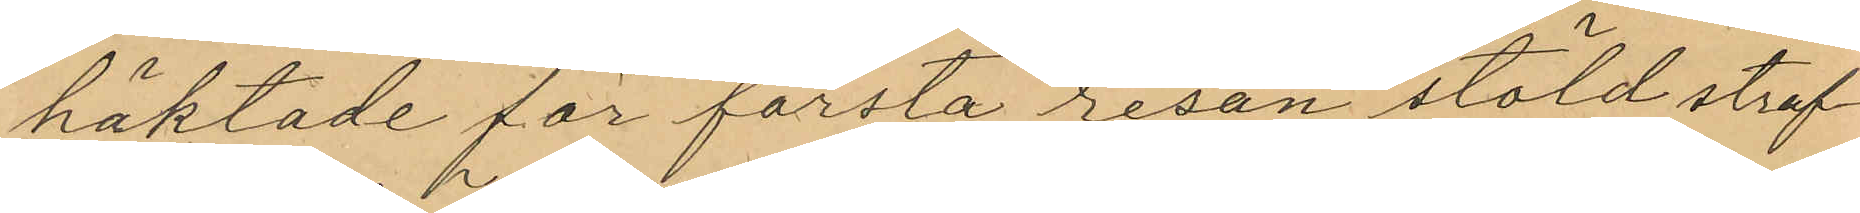häktade för farsta resan stöld straf¬
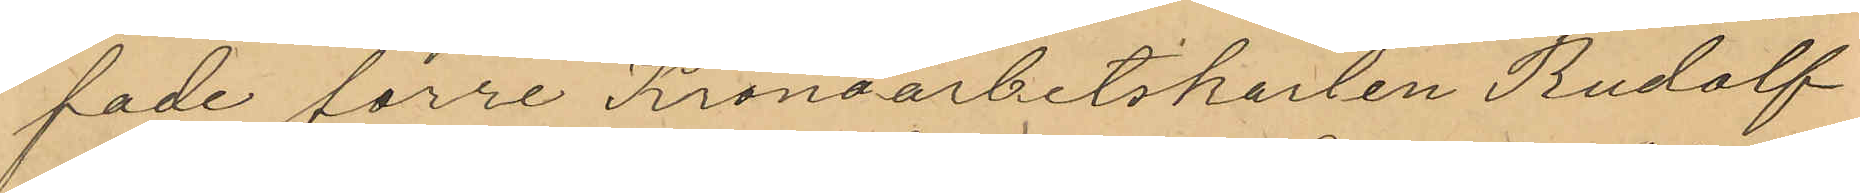fade förre Kronoarbetskarlen Rudolf
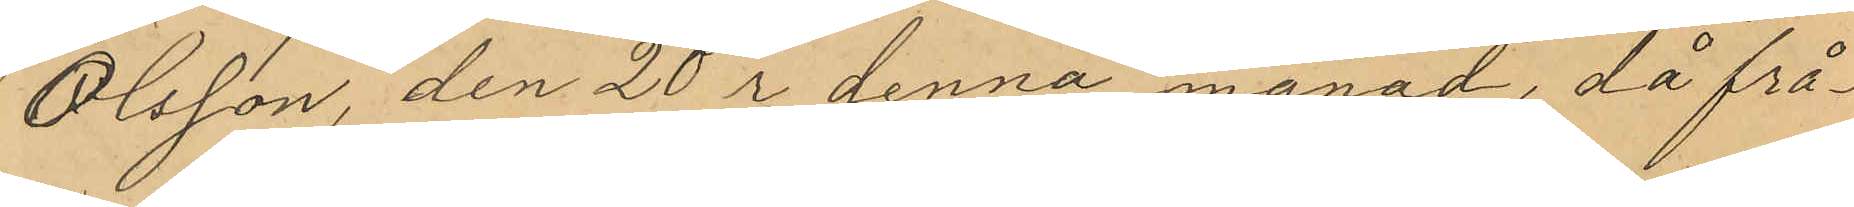Olsson, den 20 i denna månad, då frå¬
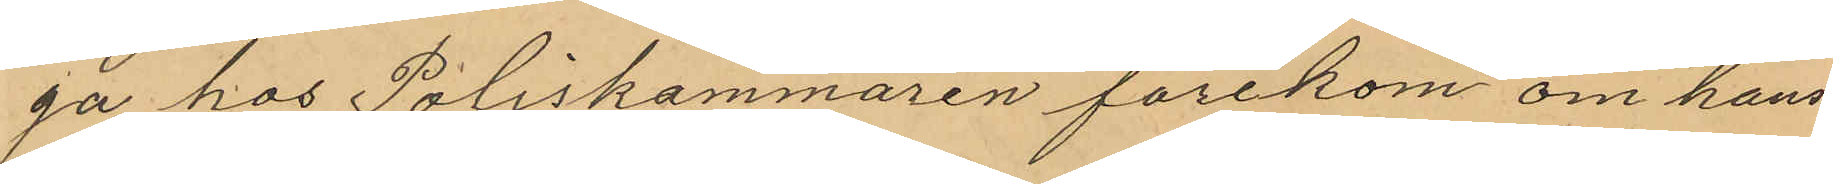ga hos Poliskammaren förekom om hans
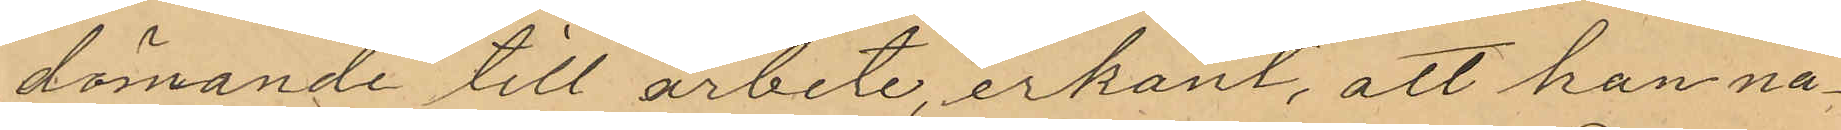dömande till arbete, erkänt, att han nå¬
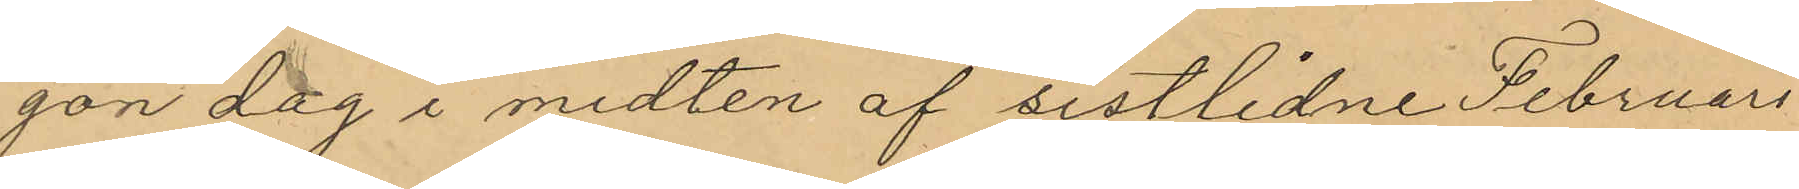gon dag i midten af sistlidne Februari
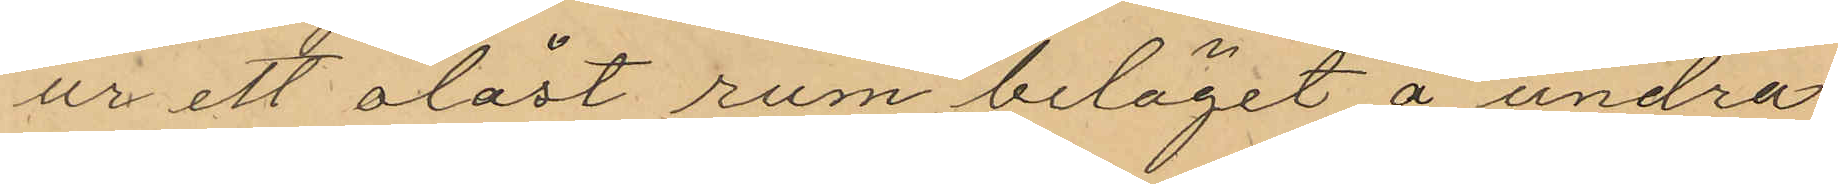ur ett olåst rum beläget å undra
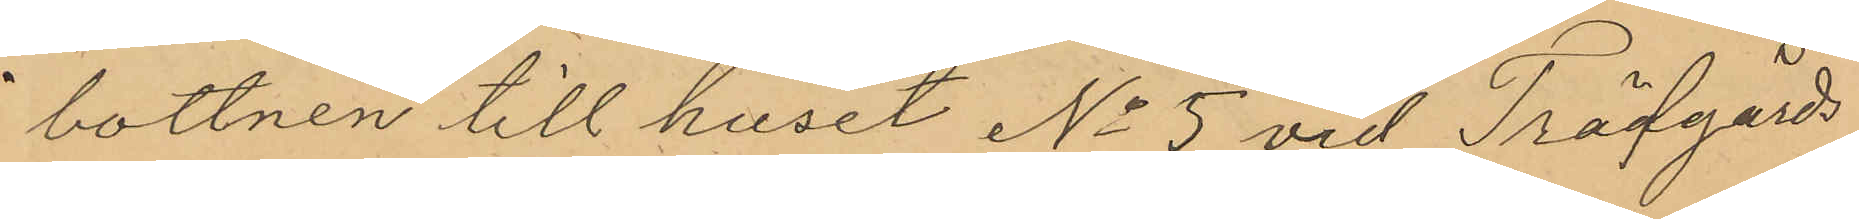bottnen till huset No 5 vid Trädgårds¬
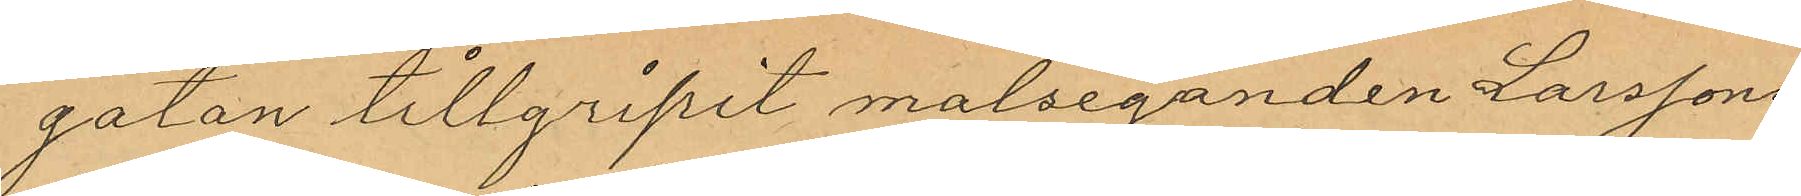gatan tillgripit malseganden Larssons
